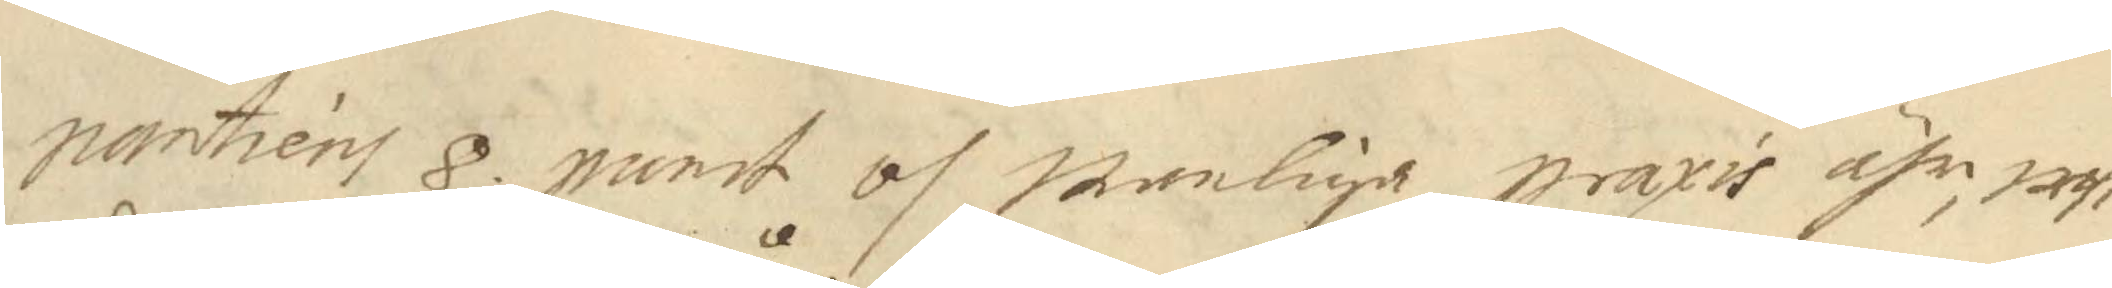santiens 8. punt och wanliga praxis ähr, uthi 
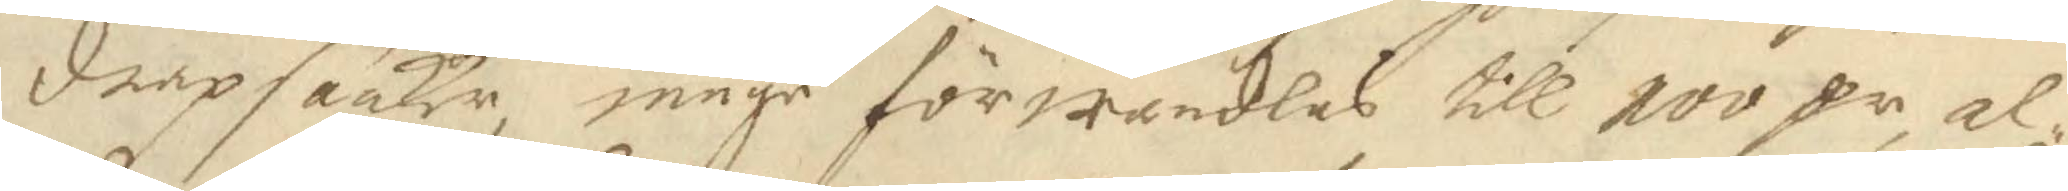dråp saaker måge förwandlas till 100 Cr, al¬
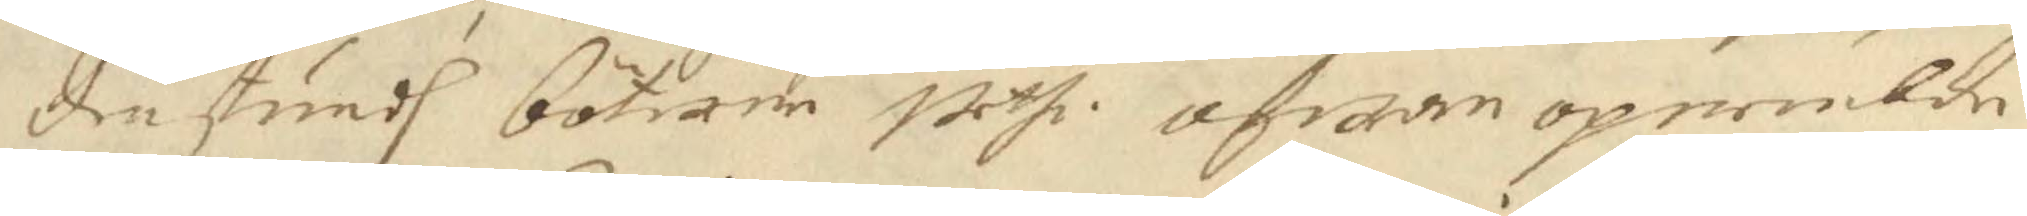denstundh böterne weth ofwan opnembde 
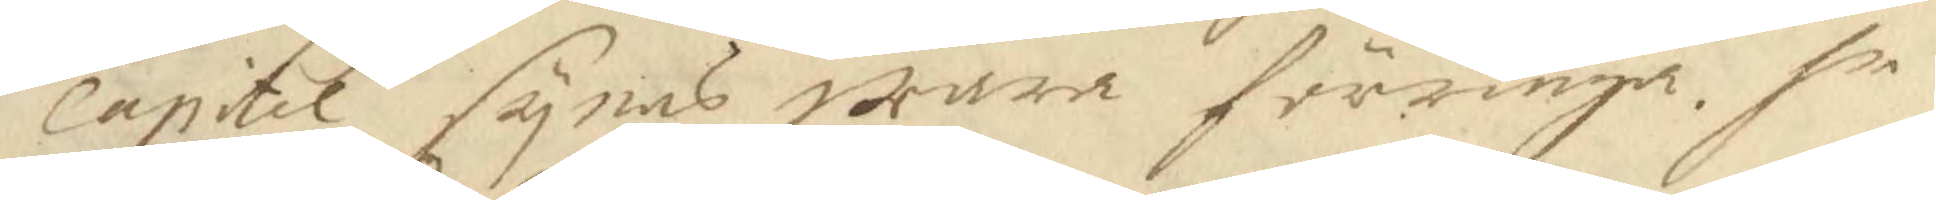capitel synes wara förringa. se
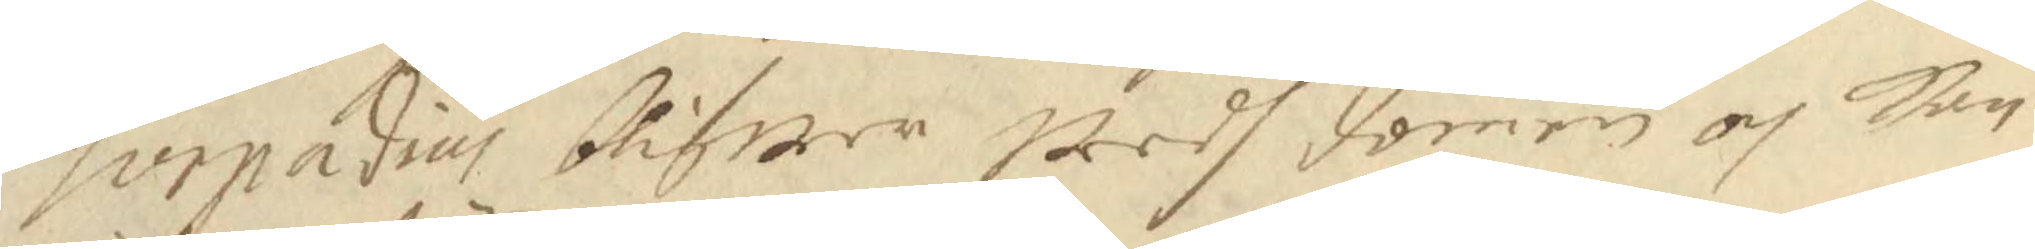Torpadius blifwer wedh domen och kan
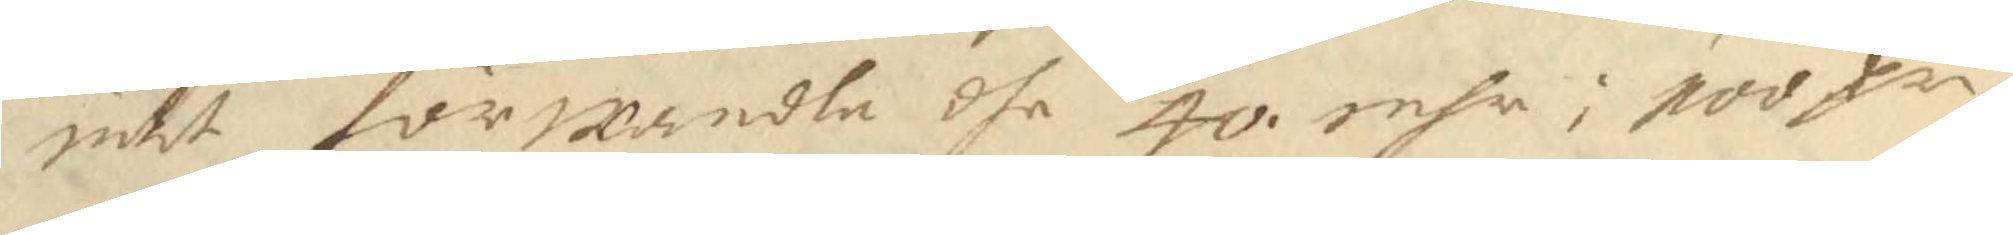intet förwandla dhe 40 rnhr i poofr.
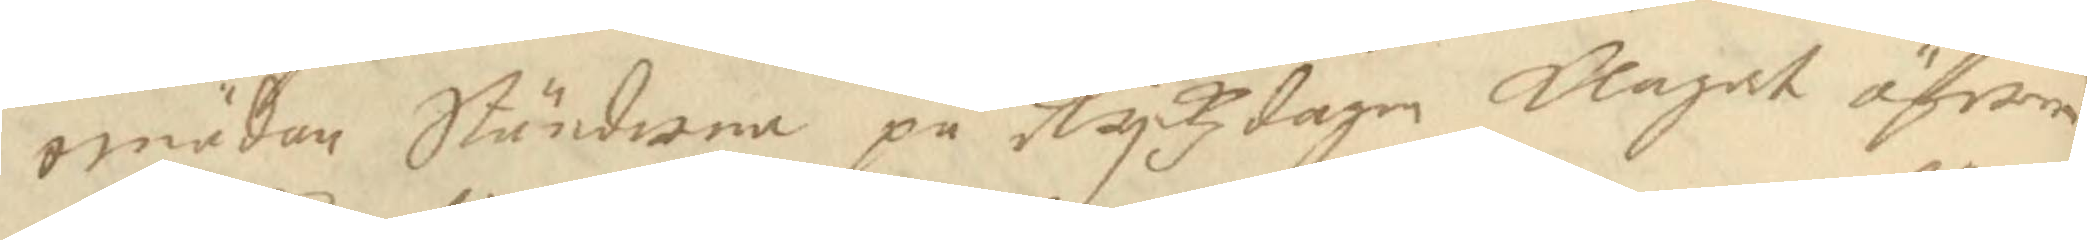emädan Ständerna på Ryckzdagen klagat öfwer
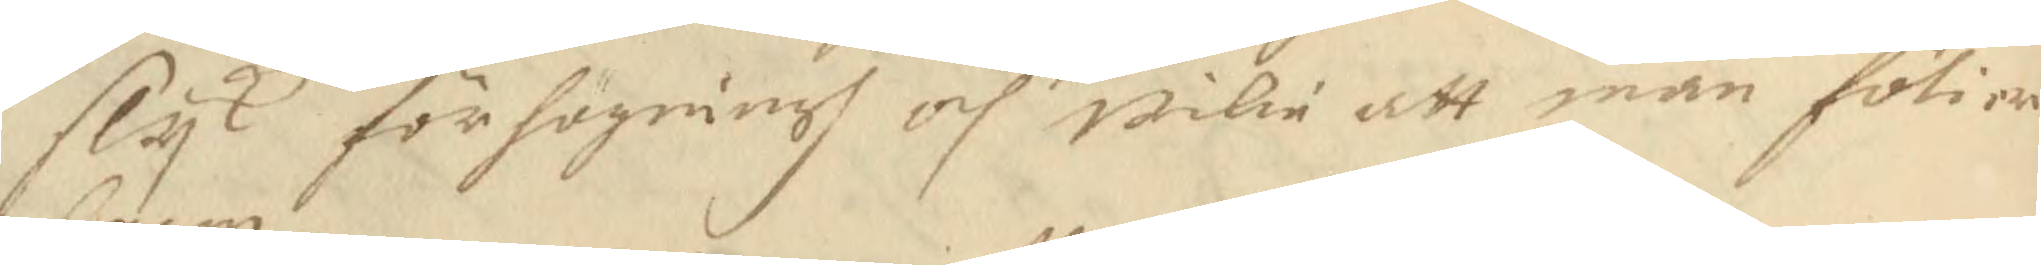slyk förhögningh och wilie att man fölier
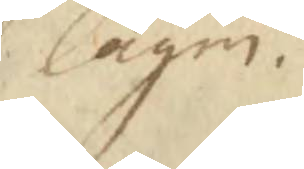lagen.
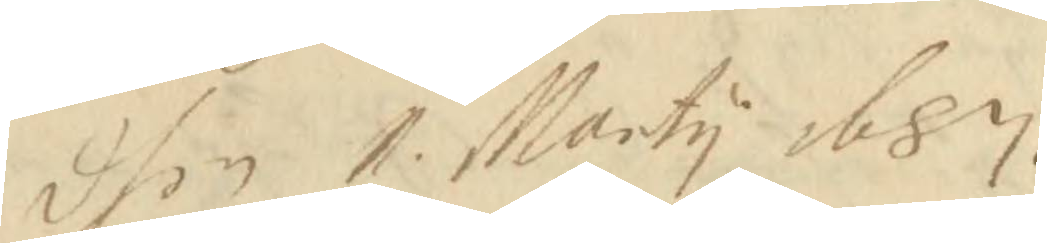dhen 1 Marty 1687.
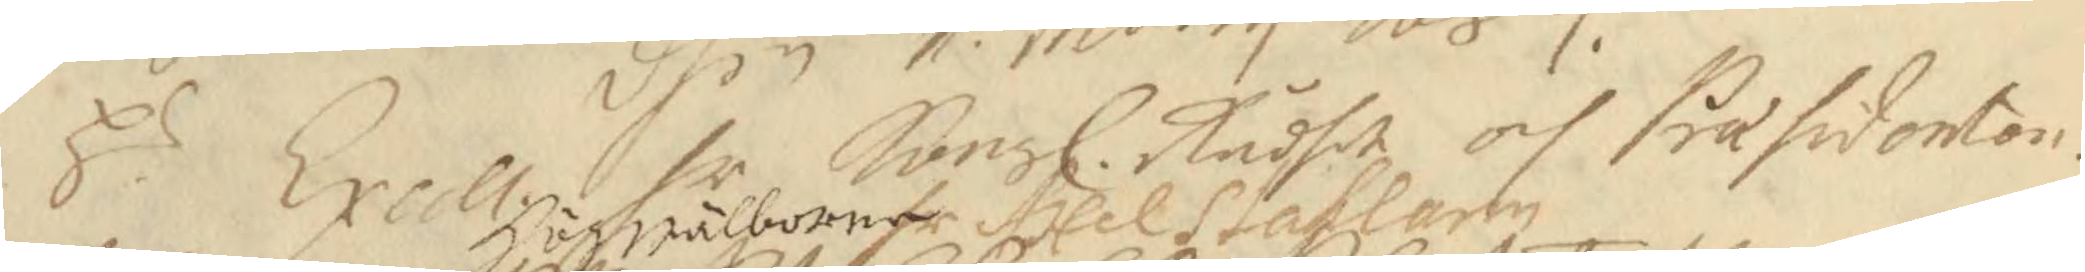Hr Exell. hr Kongl. Rådhet och Præsidonton 
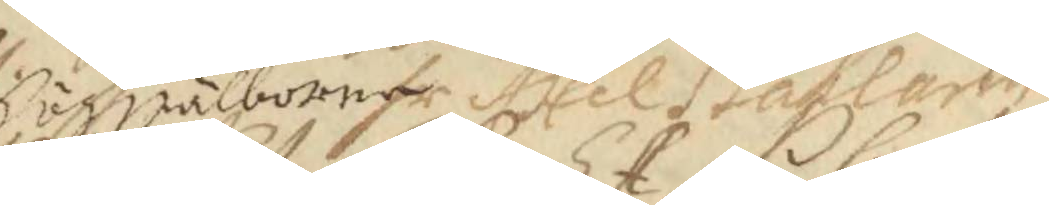Högwälborne Axel Ståhlarm
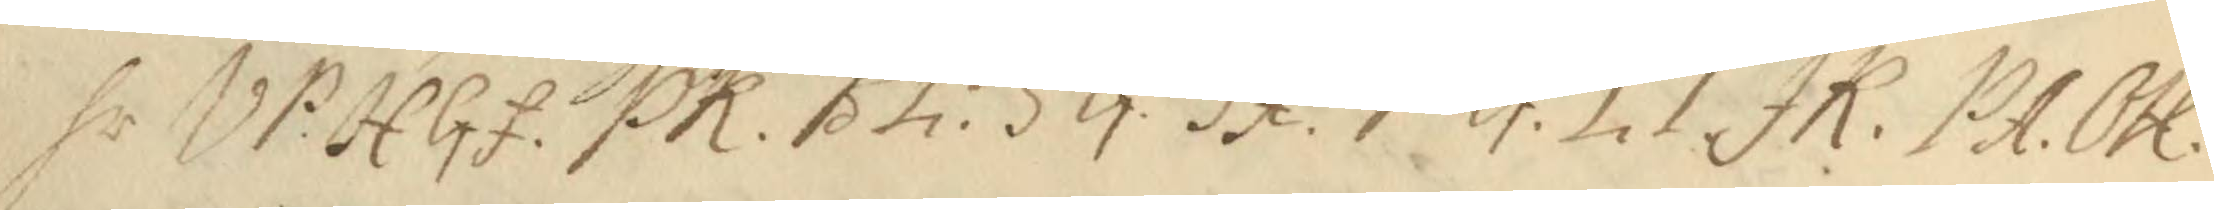hr WP: HGf.  PK. Bh .SG. ST. PG. LT. JK. PA. OH. 
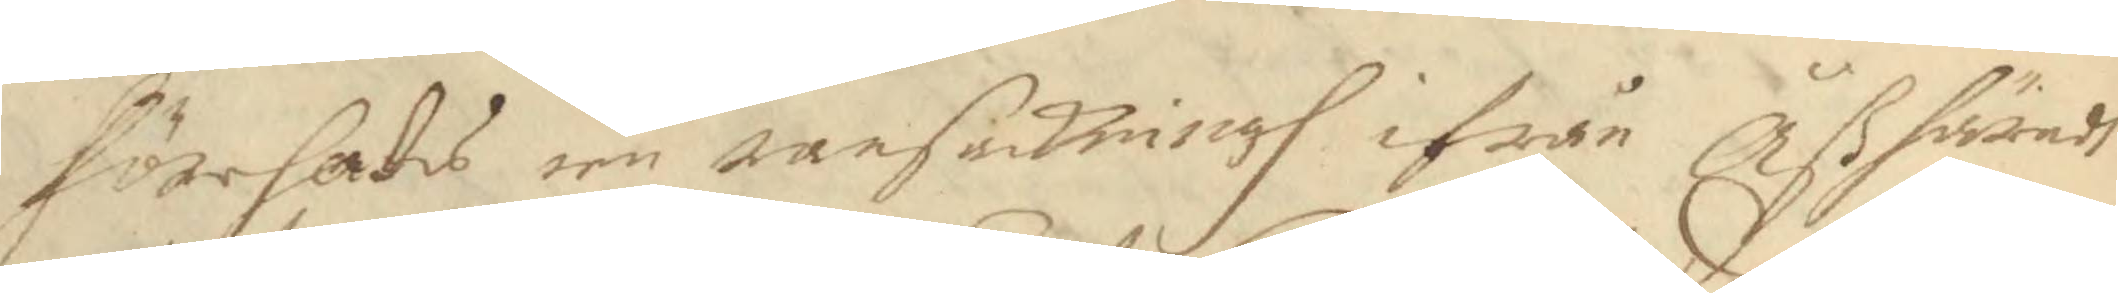förehades een ransakningh ifrån Åß häradh
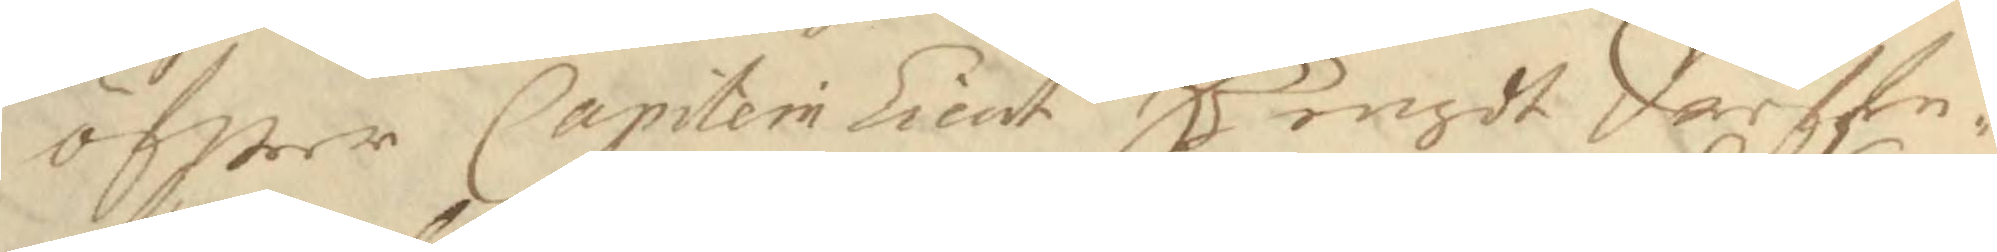öfwer Capitein Lieut Bengdt Darffe,
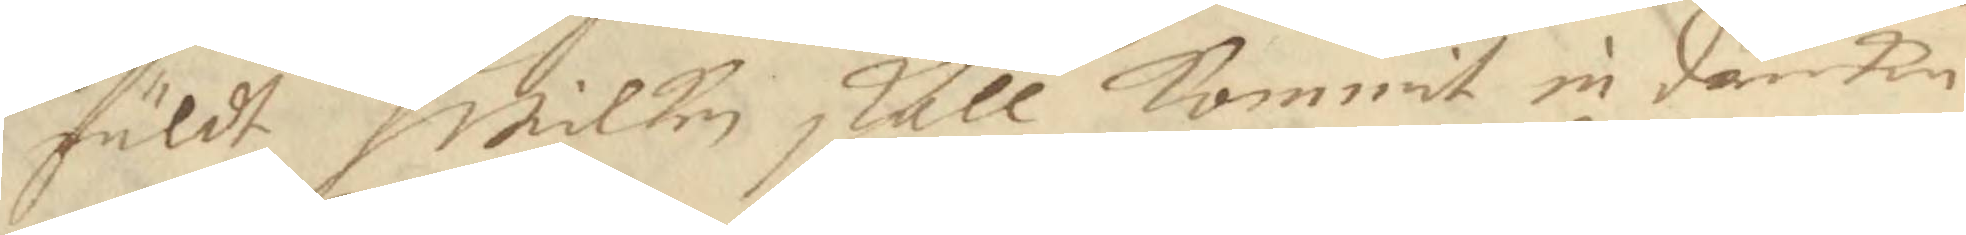fuldt hwilken skall Kommit in danken
